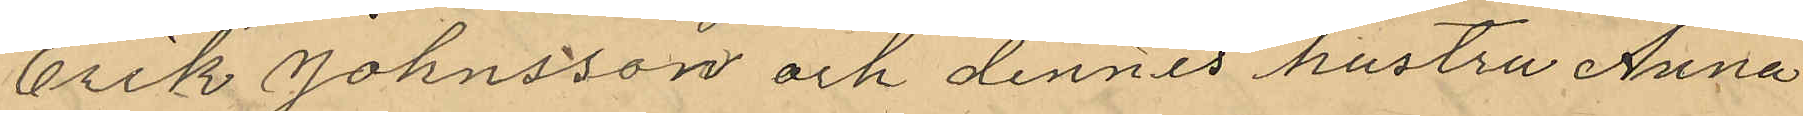Erik Johnsson och dennes hustru Anna
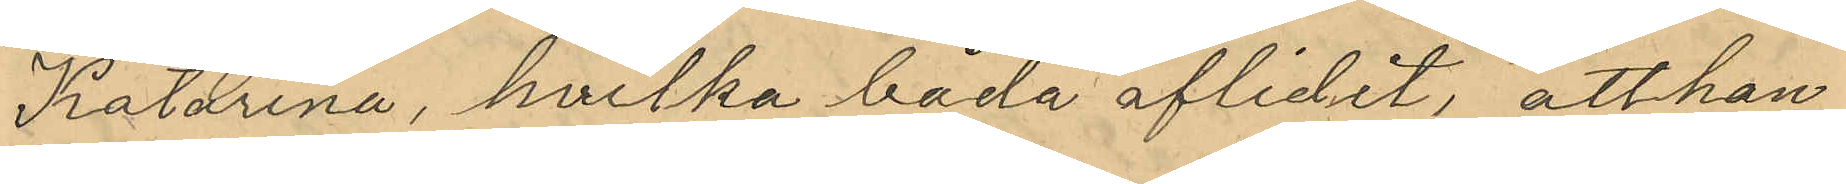Katarina, hvilka båda aflidit, att han
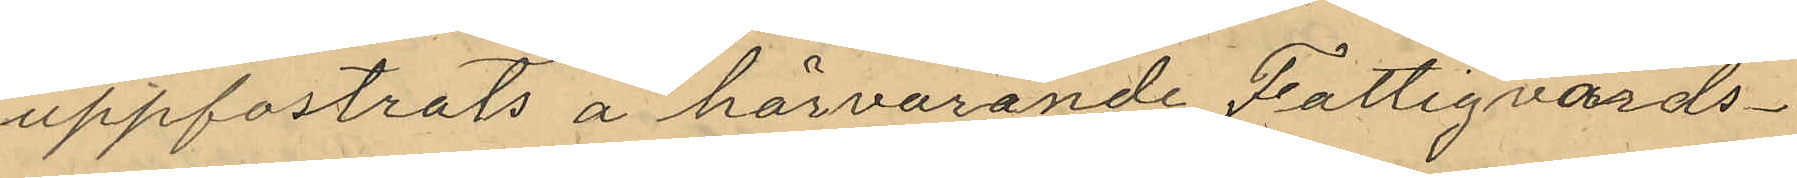uppfostrats å härvarande Fattigvårds¬
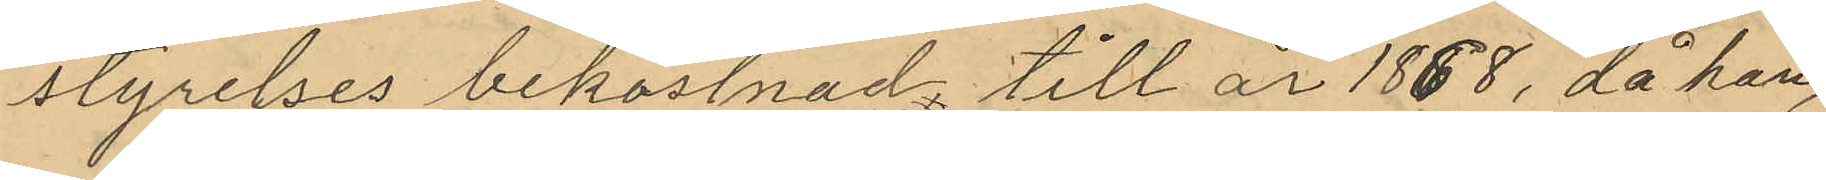styrelses bekostnad till år 1868, då han,
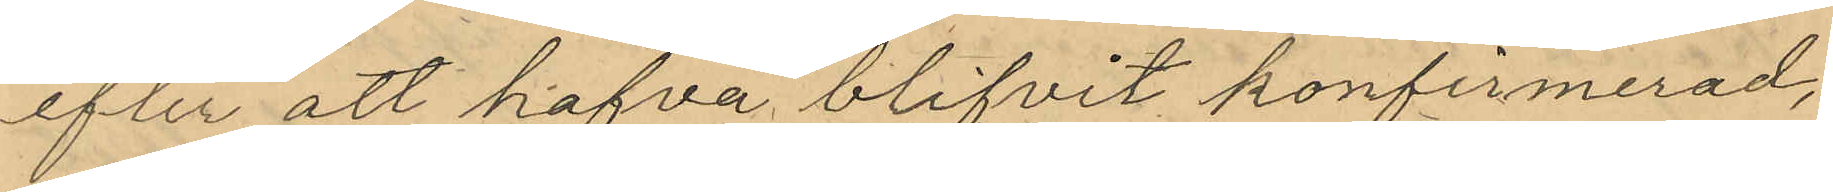efter att hafva blifvit konfirmerad,
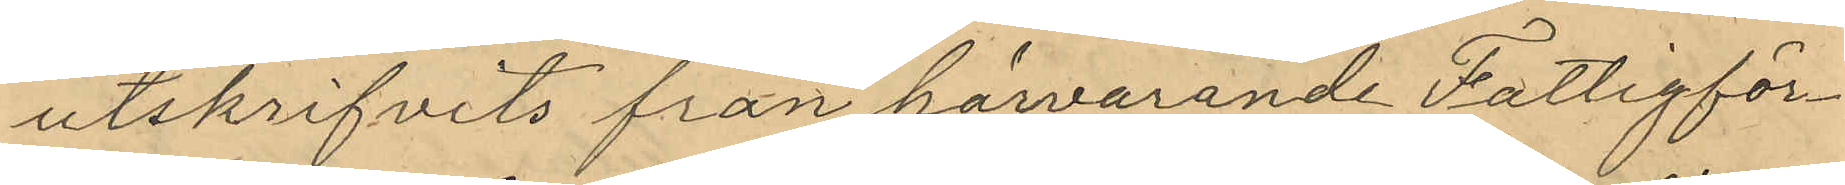utskrifvits från härvarande Fattigför¬
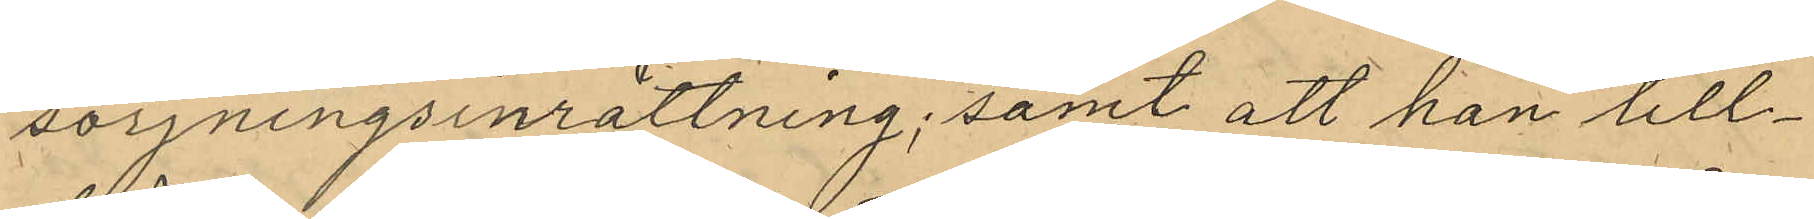sorjningsinrättning; samt att han till¬
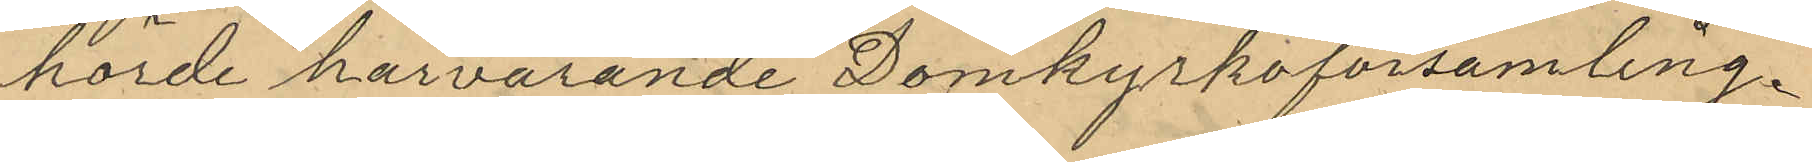hörde härvarande Domkyrkoförsamling.
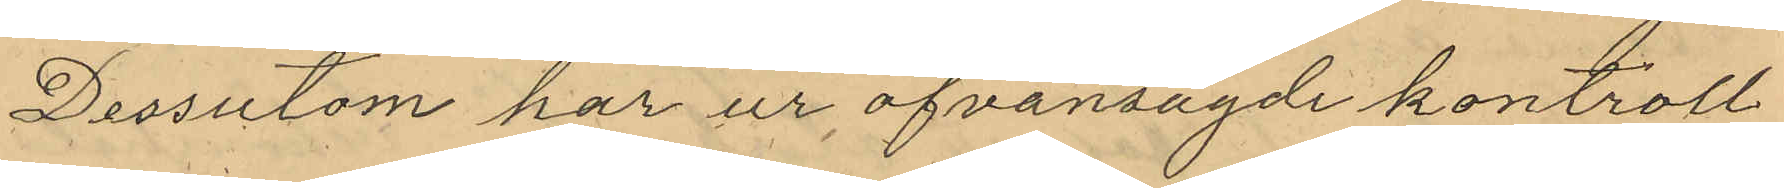Dessutom har ur ofvansagde kontroll
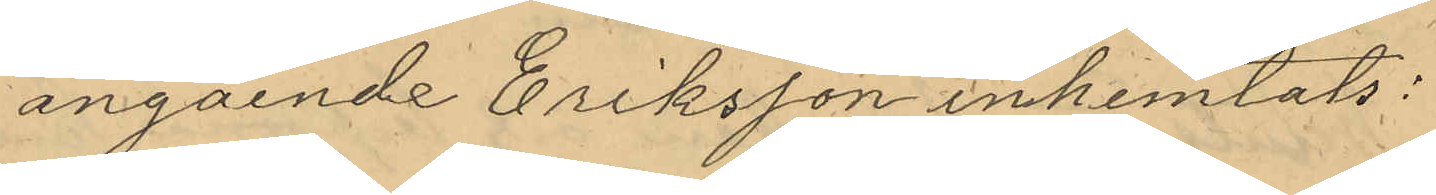angående Eriksson inhemtats:
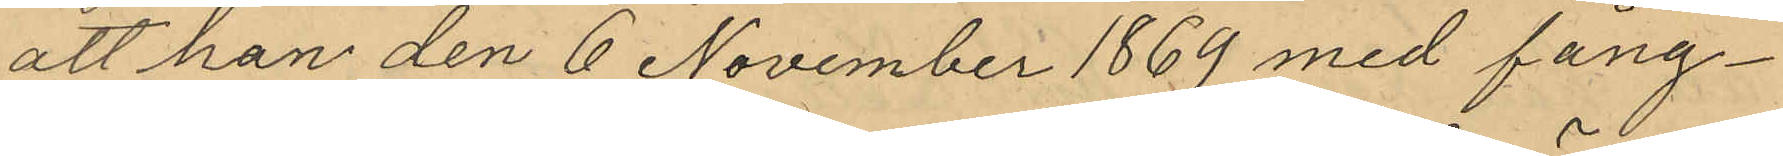att han den 6 November 1869 med fång¬
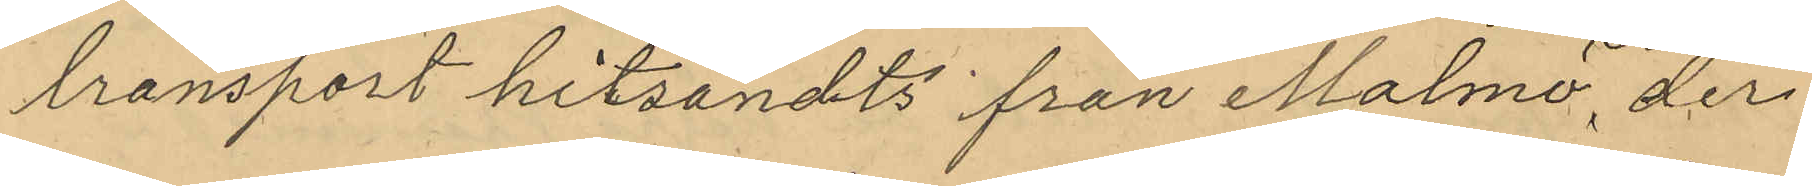transport hitsändts från Malmö, der
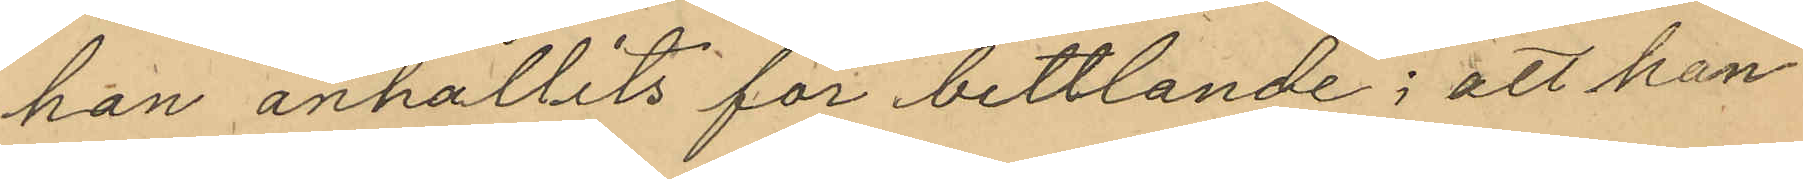han anhållits för bettlande; att han
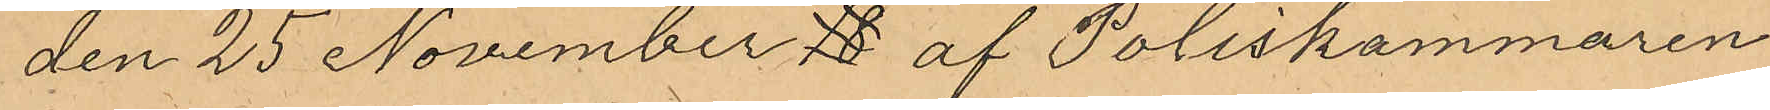den 25 November af Poliskammaren
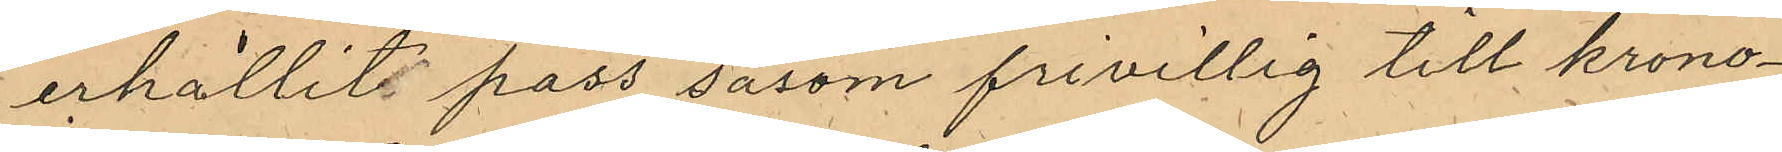erhållit pass såsom frivillig till krono¬
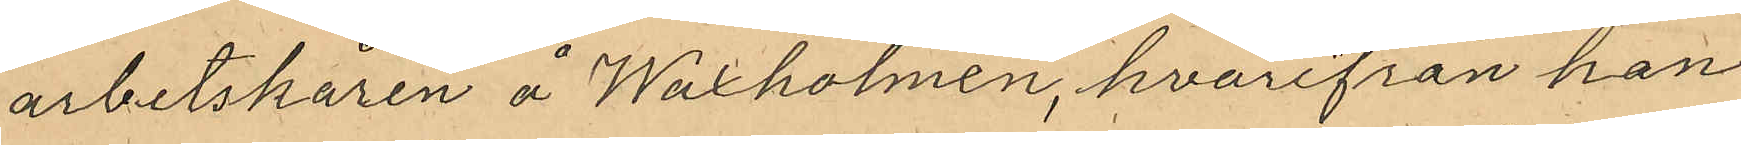arbetskåren å Waxholmen, hvarifrån han
